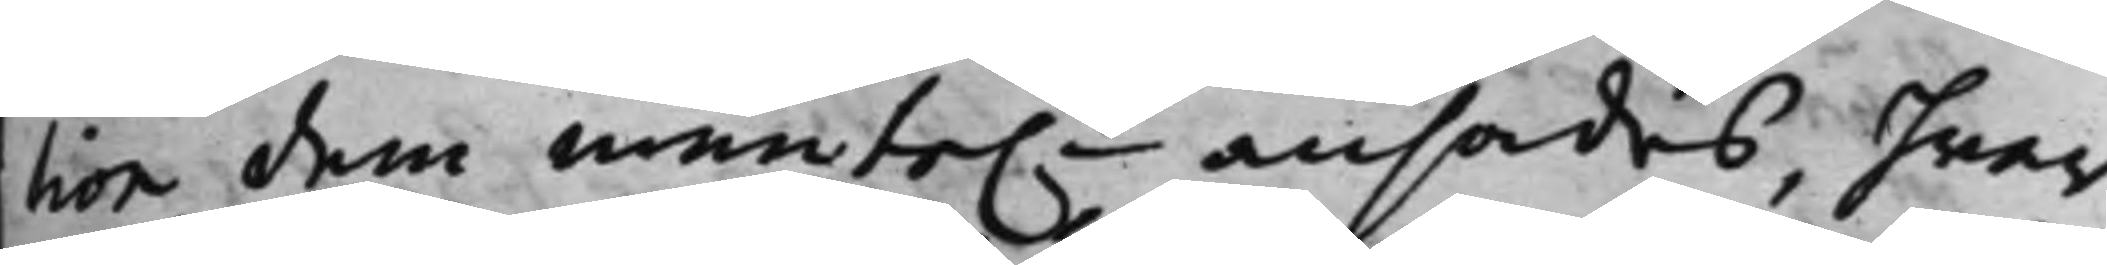tion dem munte.n ansades, hwar¬
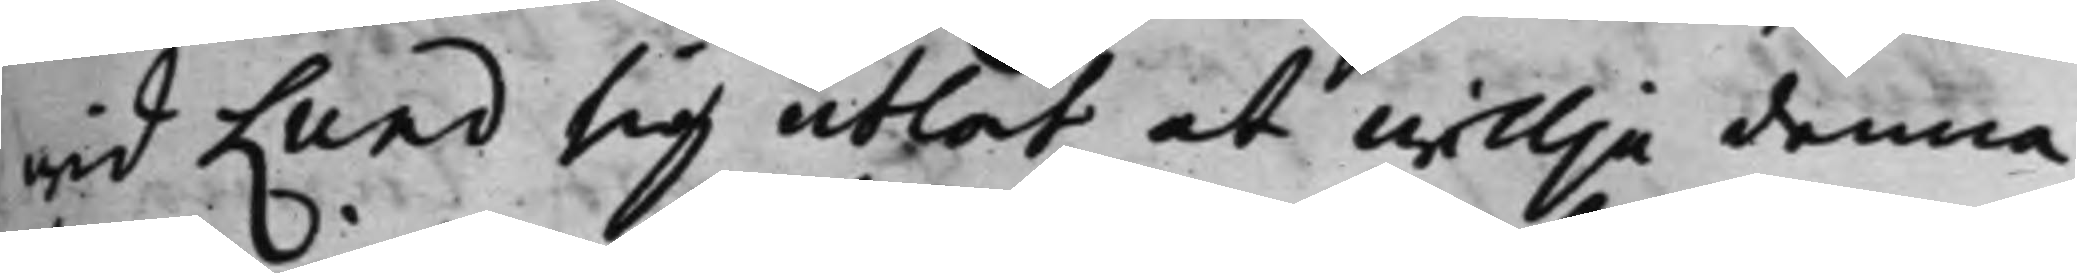wid Lund sig utlät at willja denna
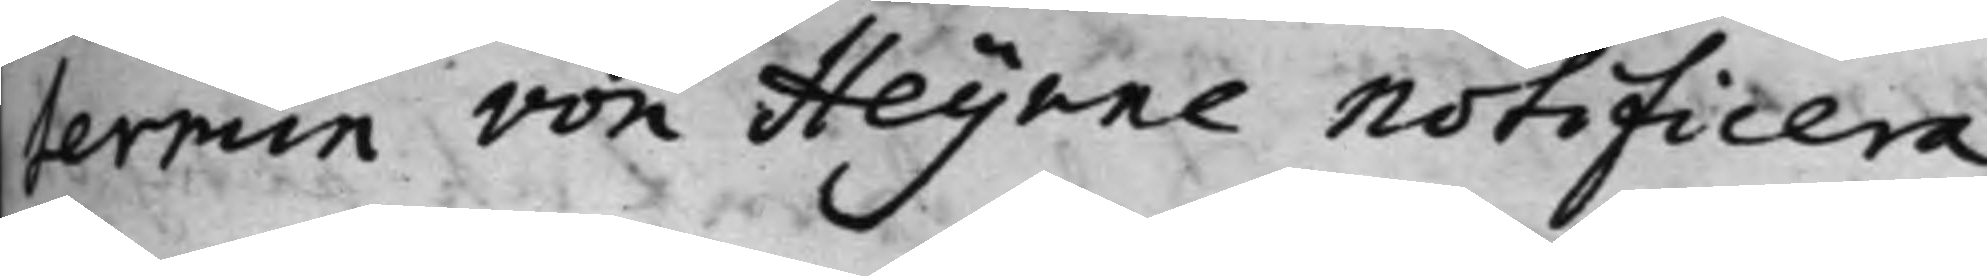termin von Heijnne notificera.
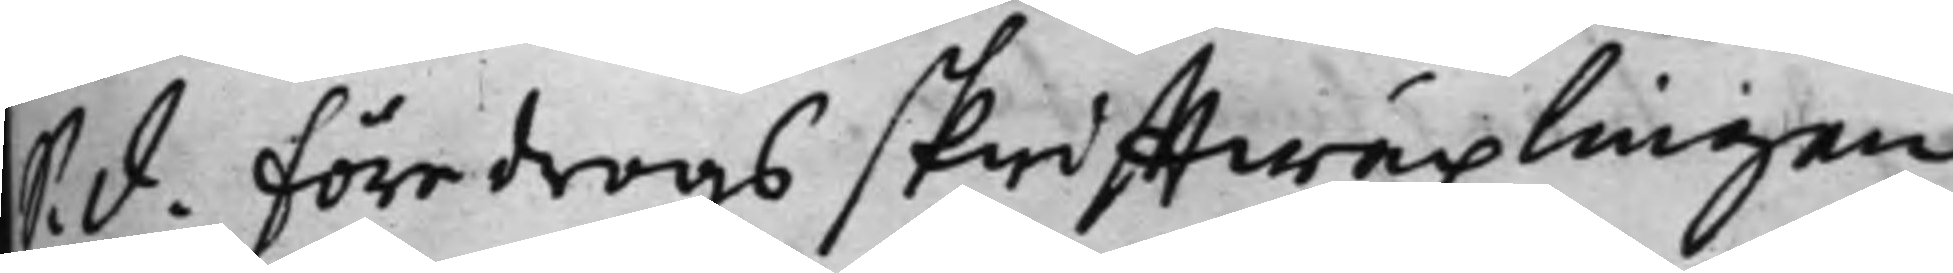S. d. Föredrogs skrifftwäxlingen
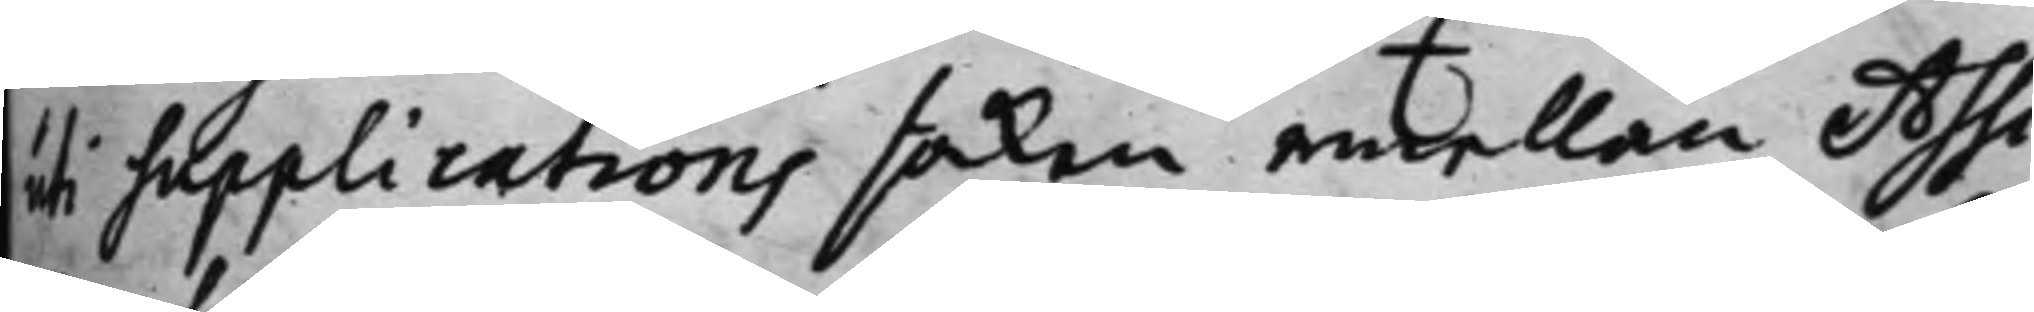uti supplications saken emellan Assi¬
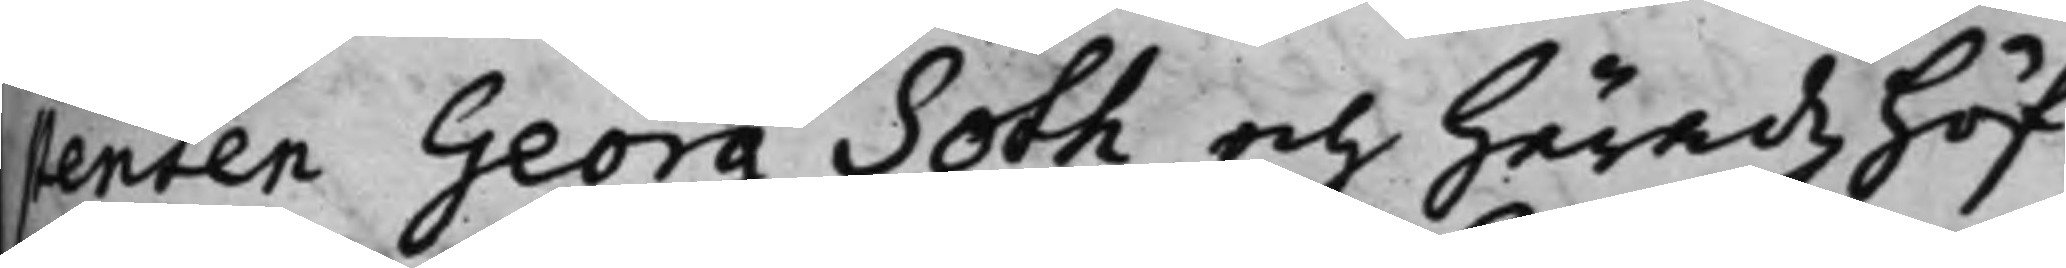senten Georg Soth och Häradzhöf¬
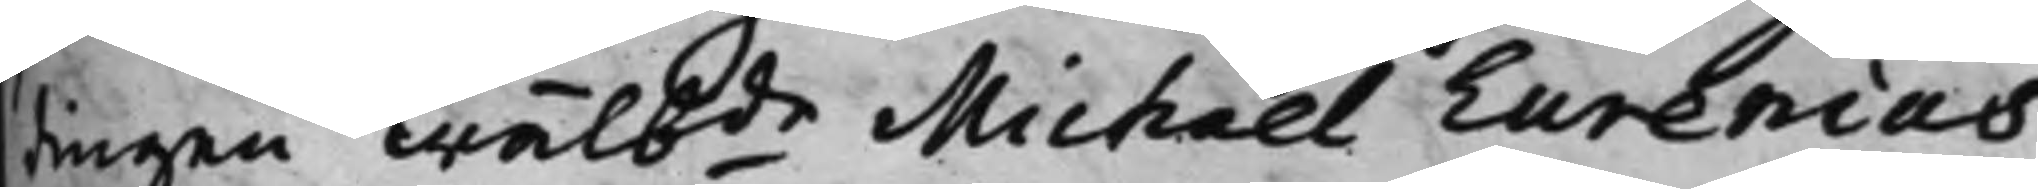dingen Wälbde Michael Eurenias
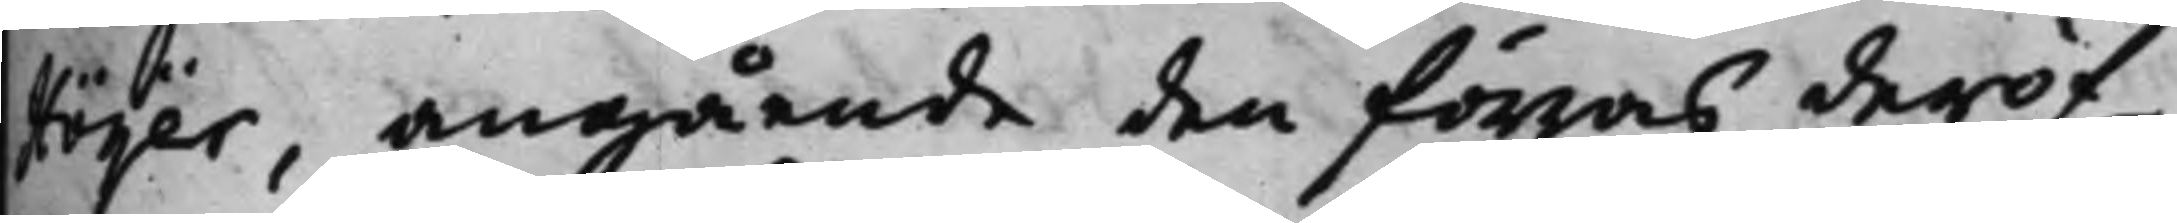Höijer, angående den förras deröf¬
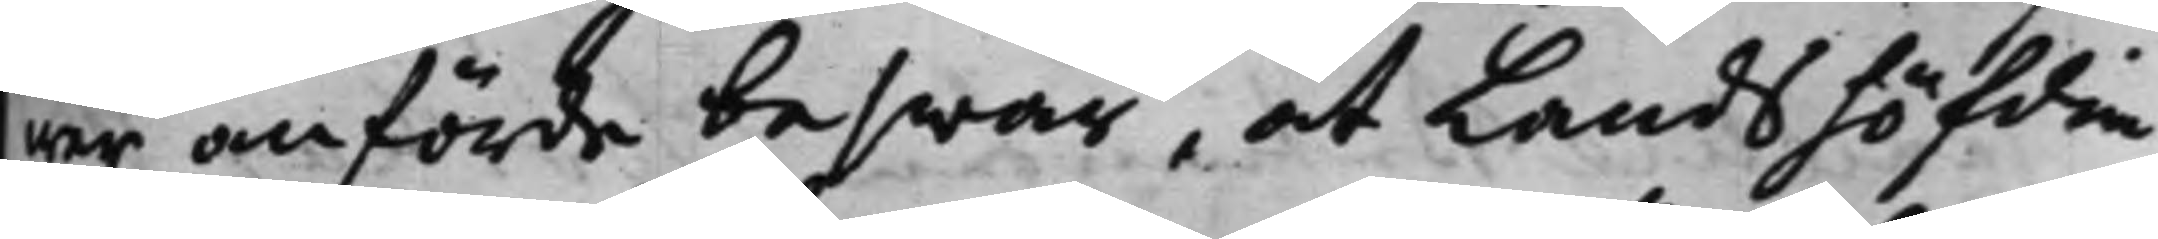wer anförde beswär, at Landshöfdin¬
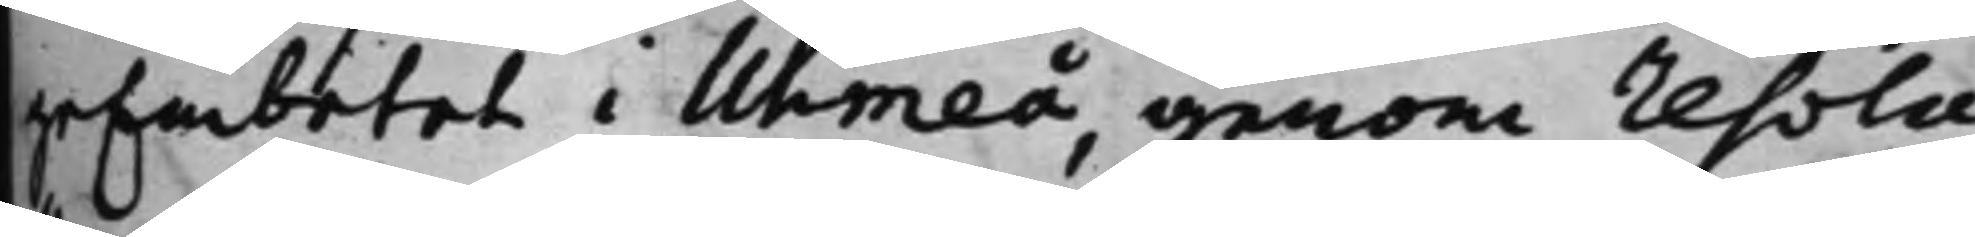geEmbetet i Uhmeå, genom resolu¬
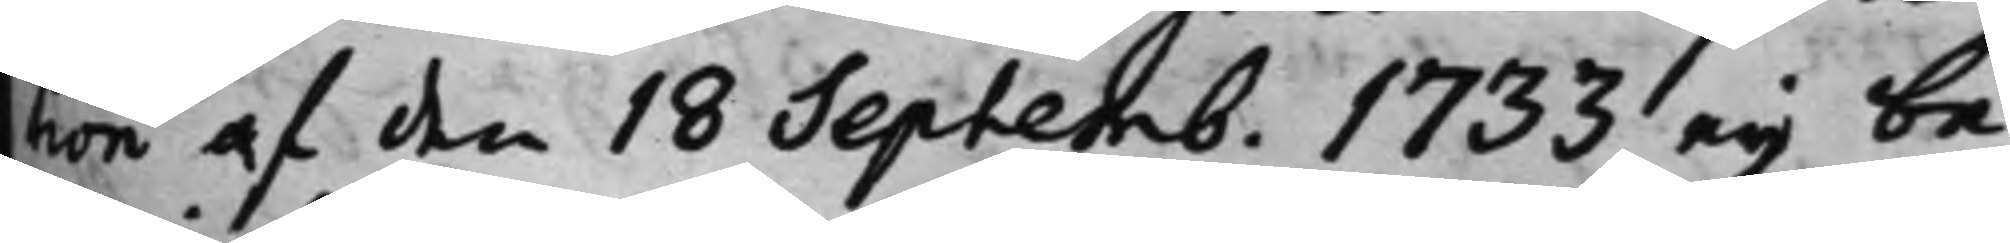tion af den 18 Septemb. 1733 eij be¬
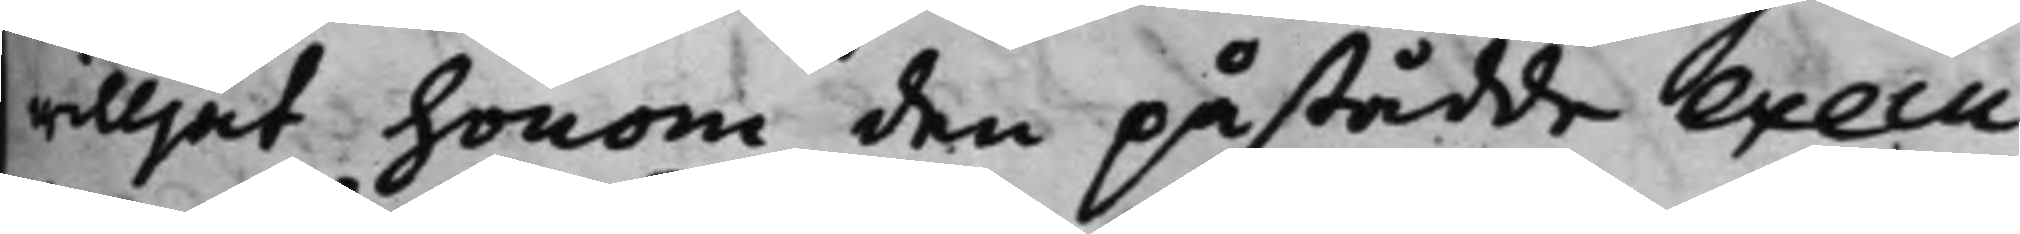willjat honom den påstådde Execu¬
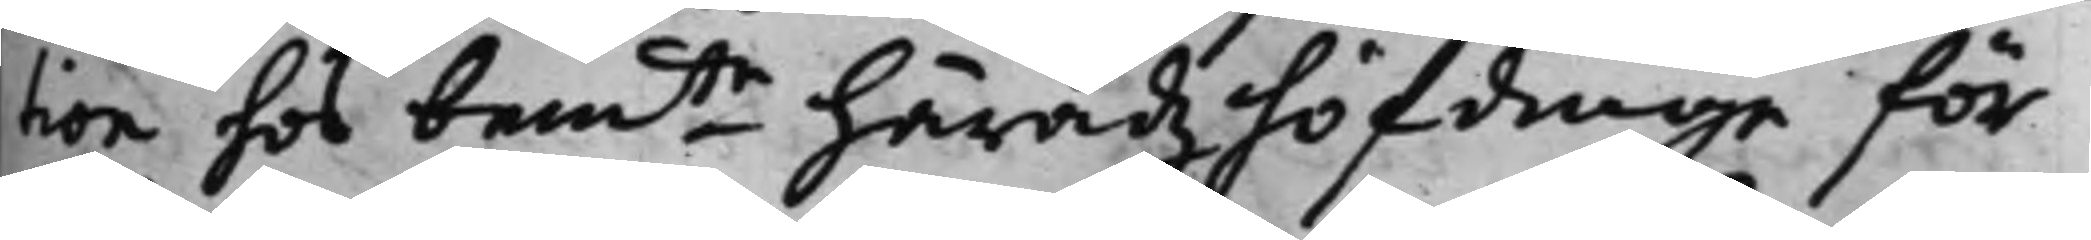tion hos bemte Häradzhöfdinge för
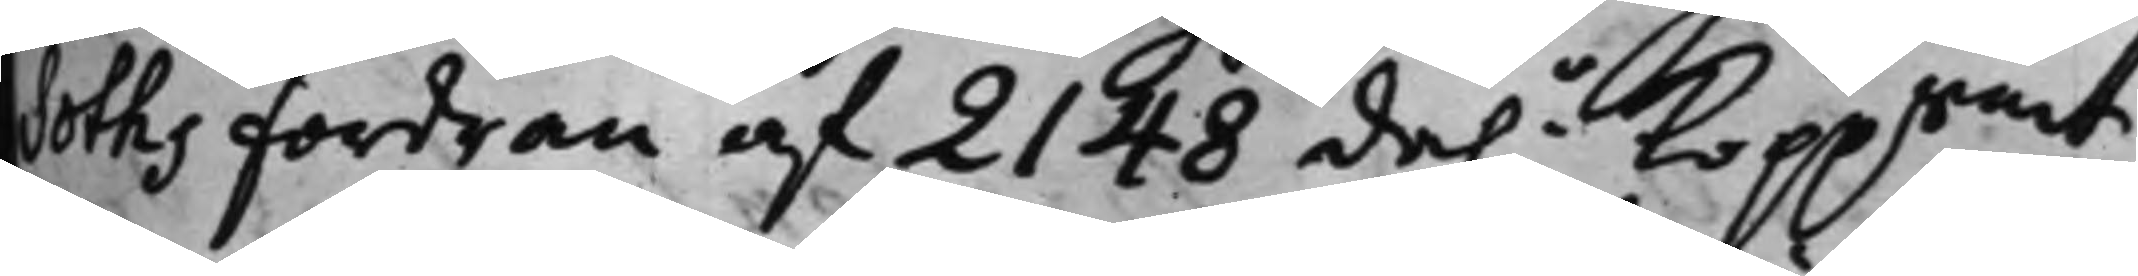Soths fordran af 2148 da.r Kopprmt
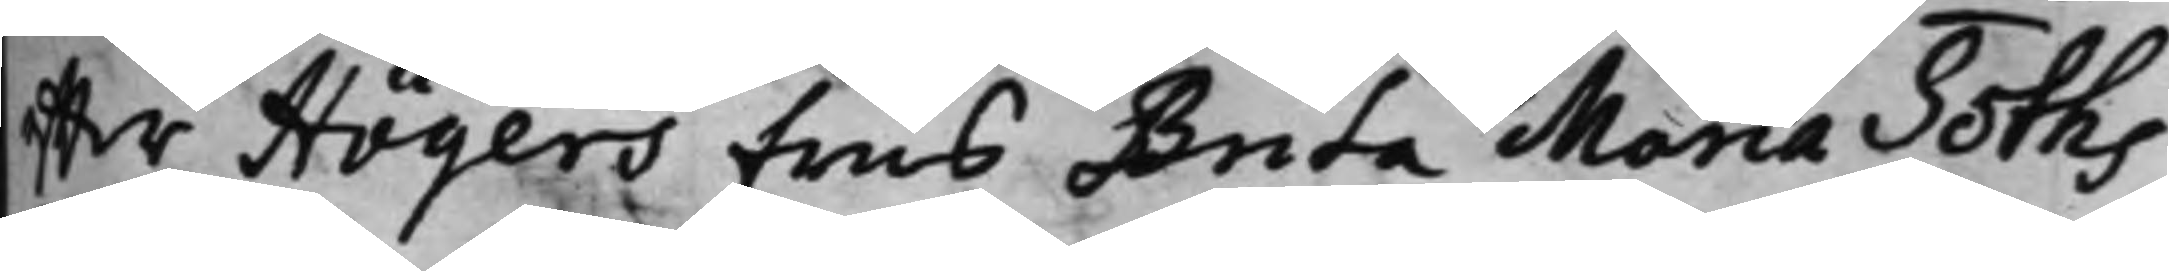effter Höijers Frus Brita Maria Soths
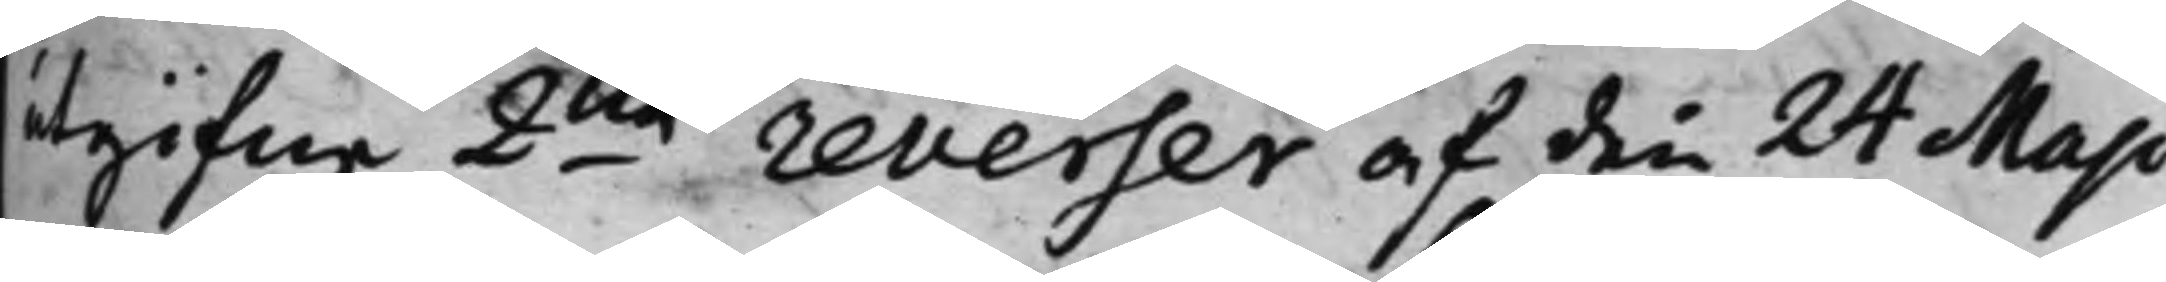utgifne 2ne reverser af den 24 Maji
